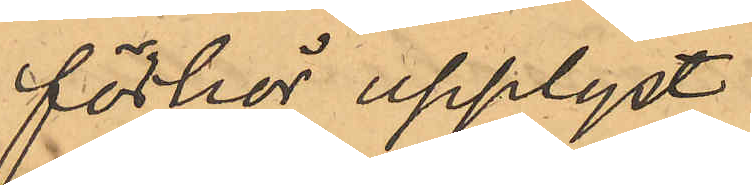förhör upplyst:
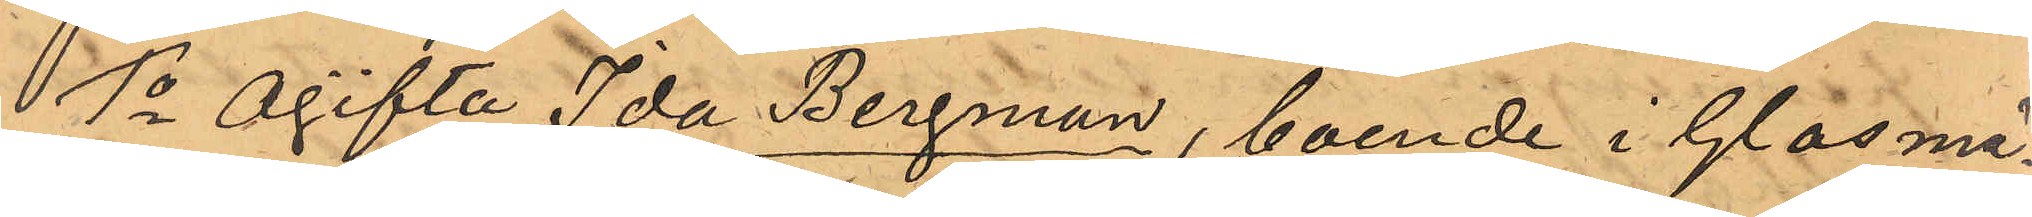1o ogifta Ida Bergman, boende i Glasmä¬
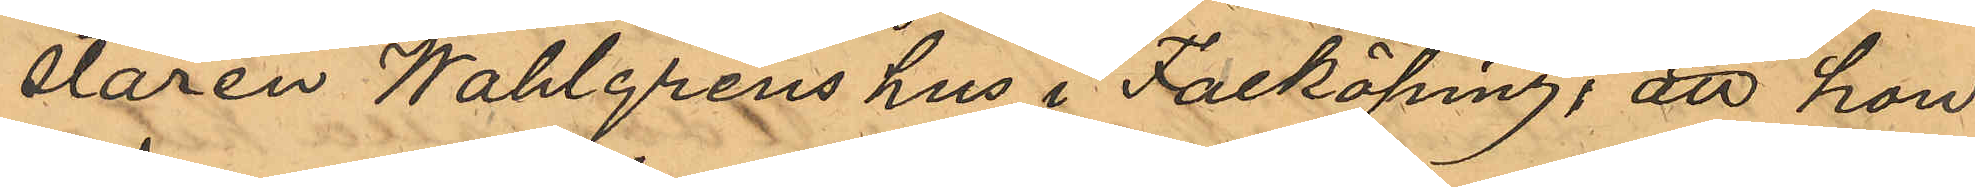staren Wahlgrens hus i Falköping, att hon
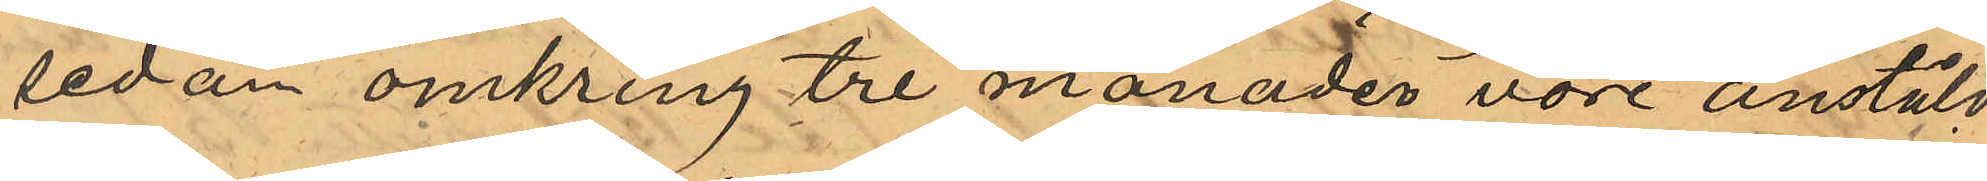sedan omkring tre månader vore anstäld
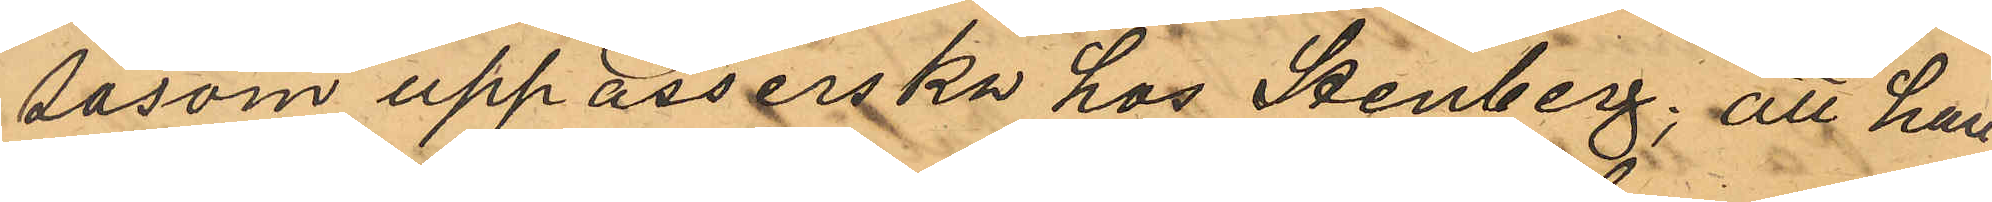såsom uppasserska hos Stenberg; att han
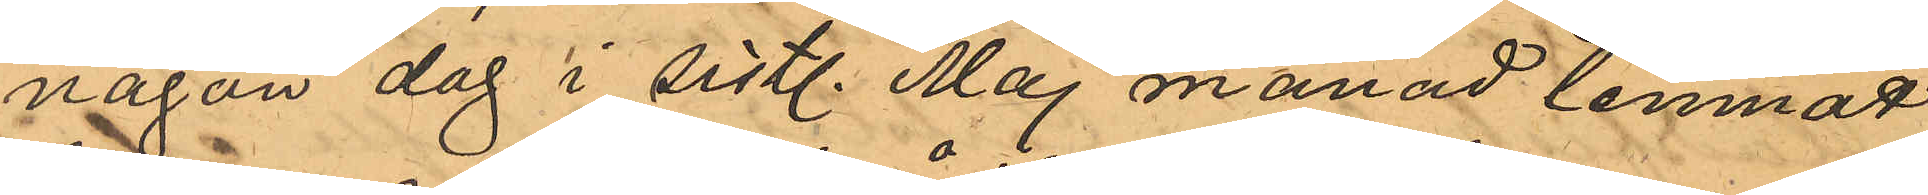någon dag i sistl. Maj månad lemnat
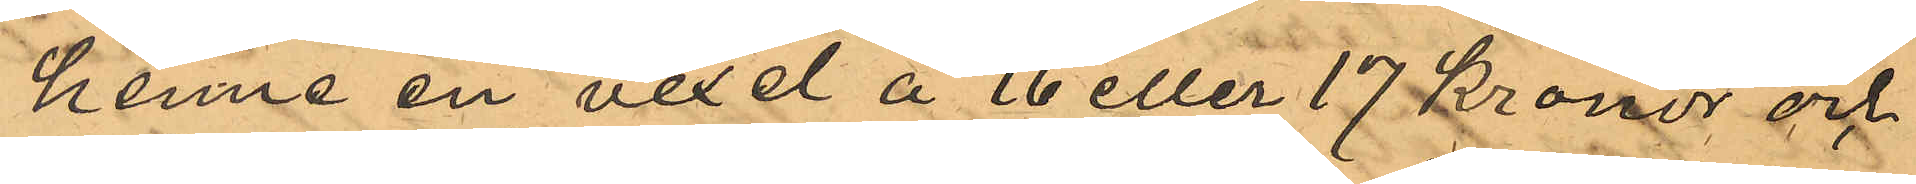henne en vexel å 16 eller 17 kronor och
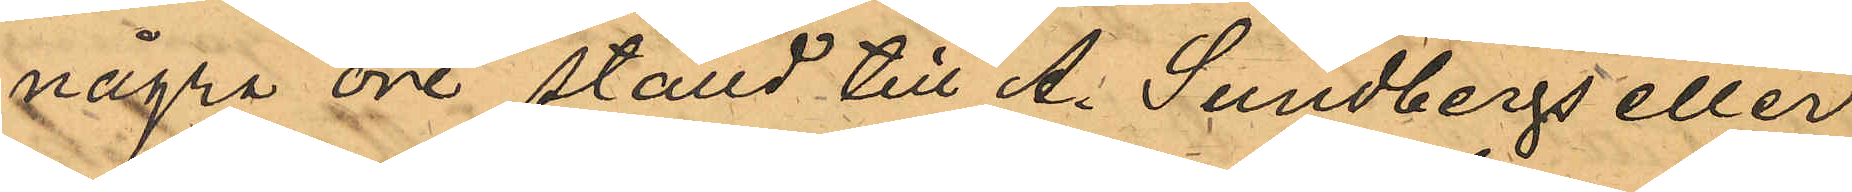några öre ställd till A. Sundbergs eller
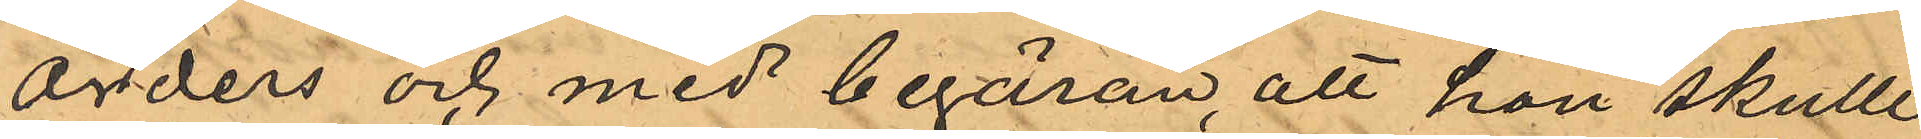Orders och med begäran, att hon skulle
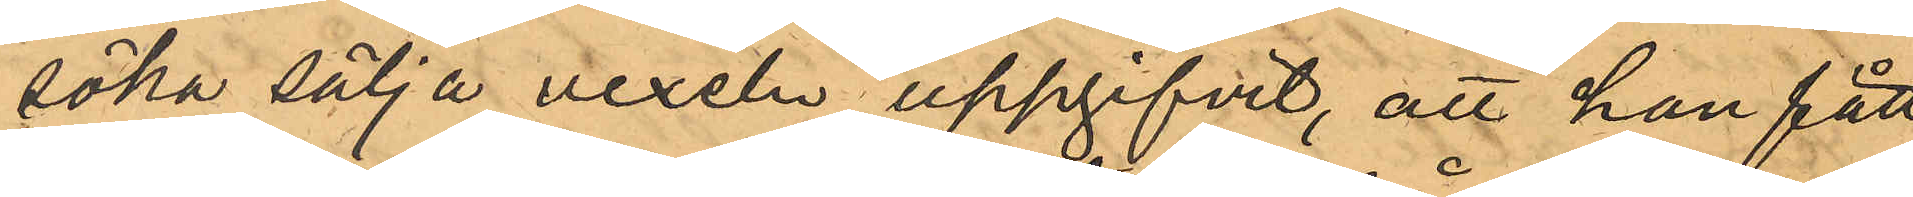söka sälja vexeln uppgifvit, att han fått
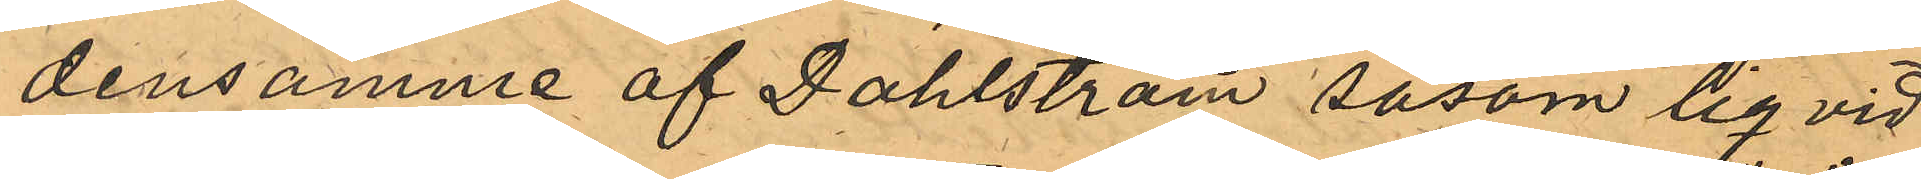densamme af Dahlström såsom liqvid
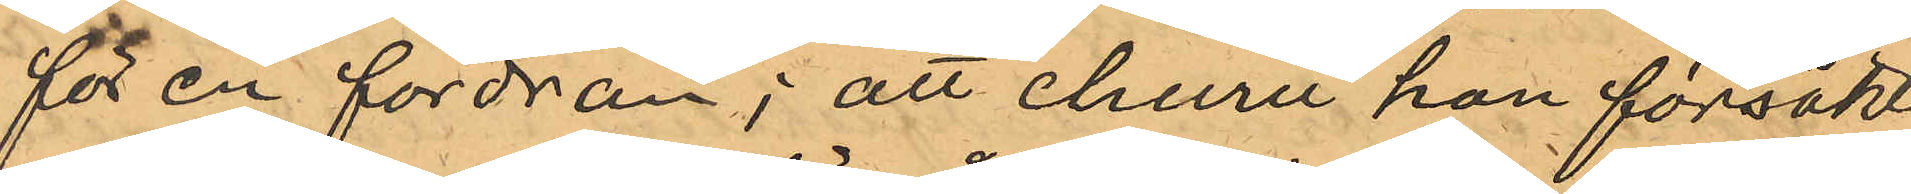för en fordran; att ehuru hon försökt
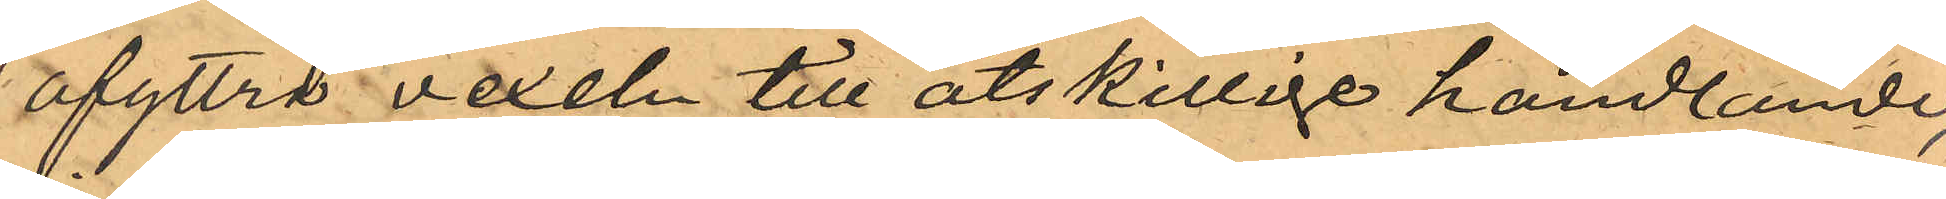afyttra vexeln till åtskillige handlande,
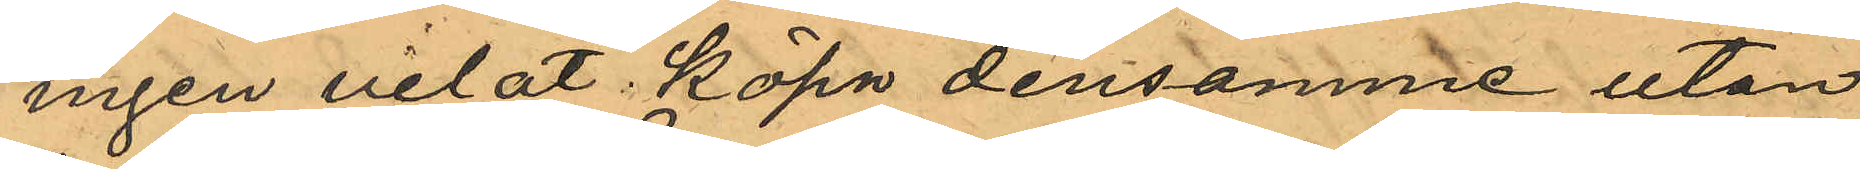ingen velat köpa densamme utan
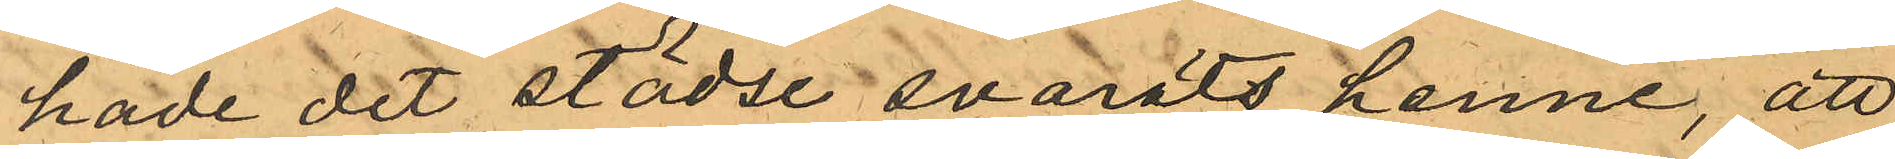hade dit städse svarats henne, att
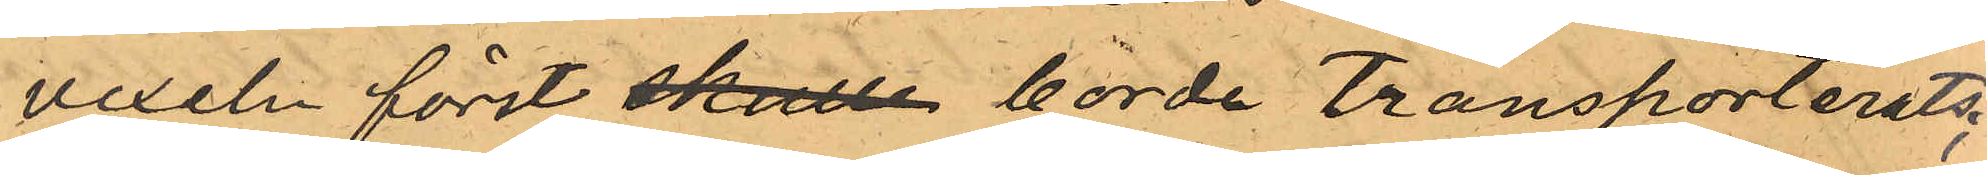vexeln först skulle borde transporterats;
